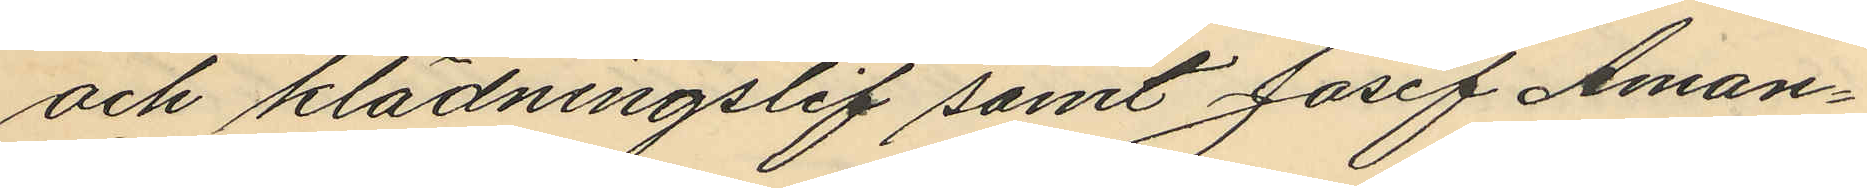och klädningslif samt Josef Aman¬
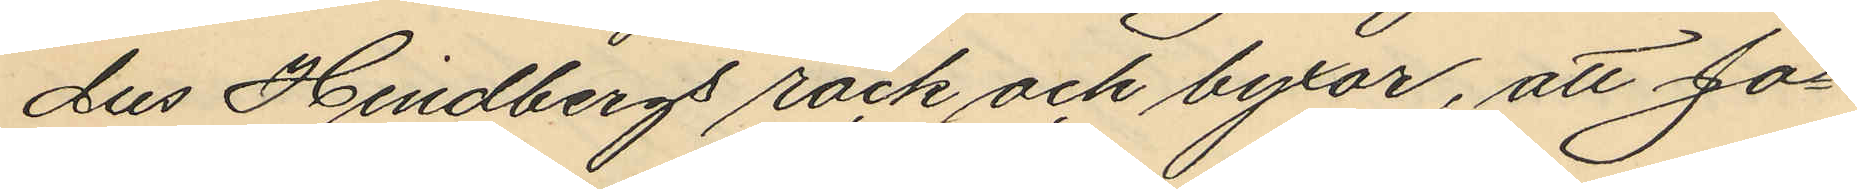dus Hindbergs rock och byxor, att Jo¬
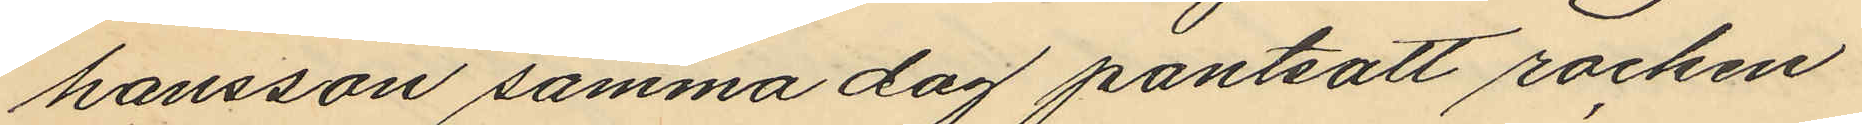hansson samma dag pantsatt rocken
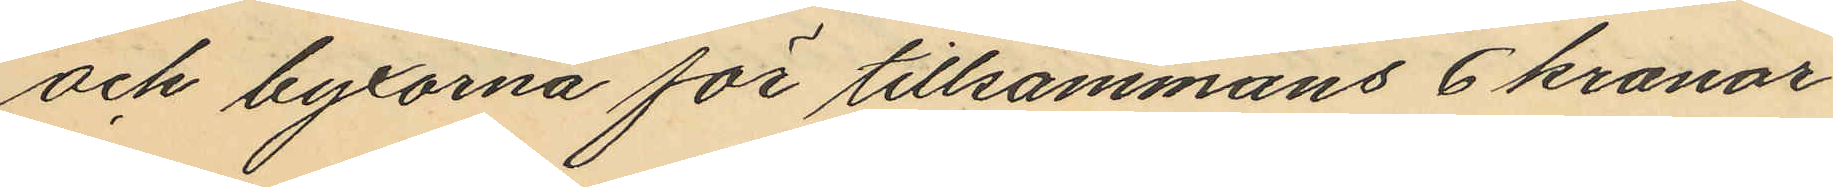och byxorna för tillsammans 6 kronor
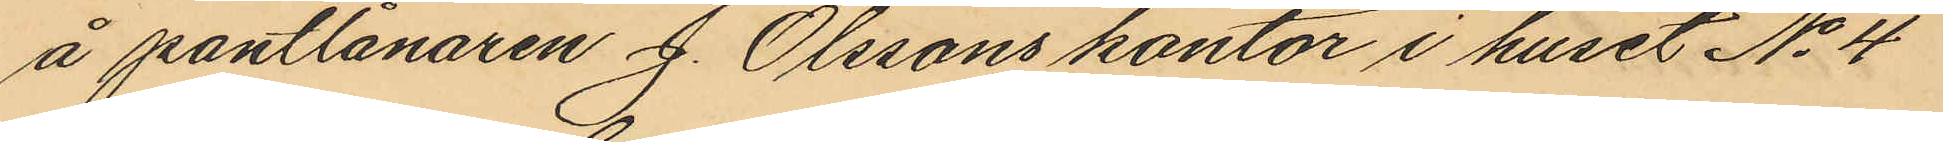å pantlånaren J. Olssons kontor i huset No 4
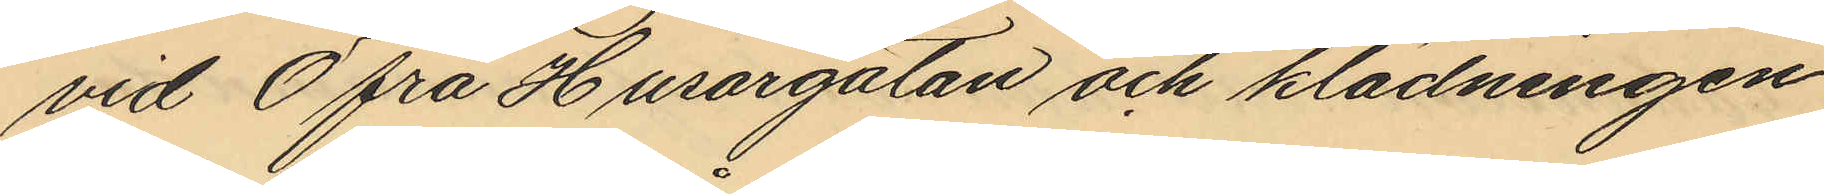vid Öfra Husargatan och klädningen
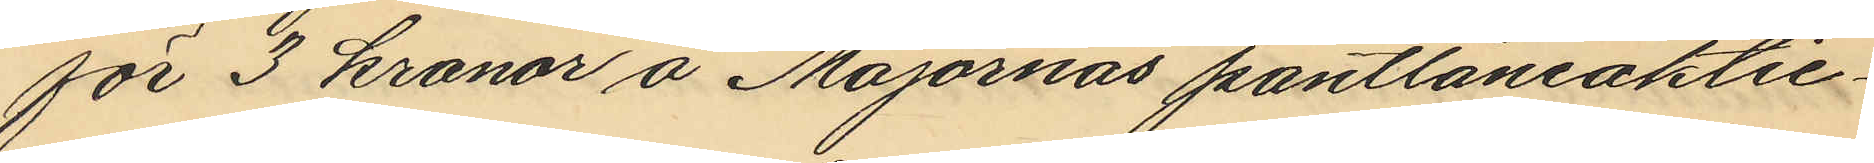för 3 kronor å Majornas pantlåneaktie¬
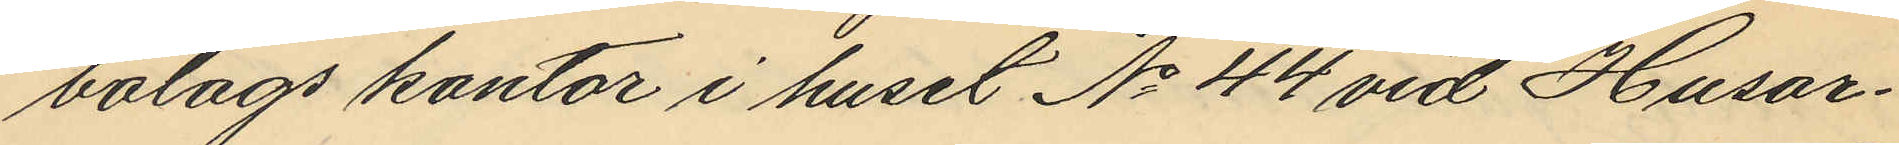bolags kontor i huset No 44 vid Husar¬
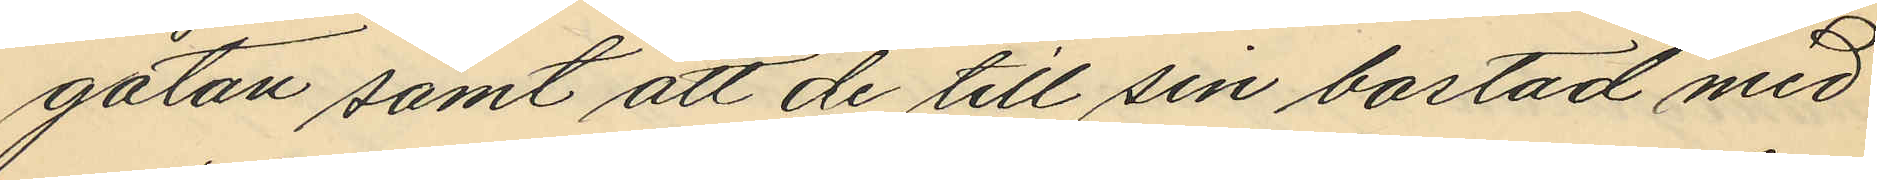gatan samt att de till sin bostad med
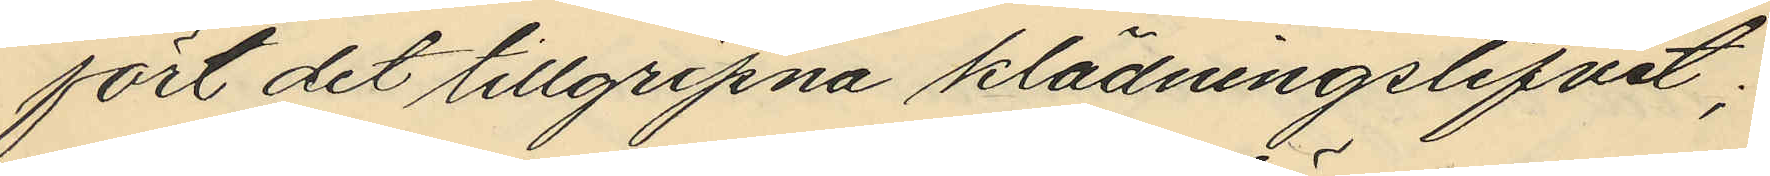fört det tillgripna klädningslifvet;
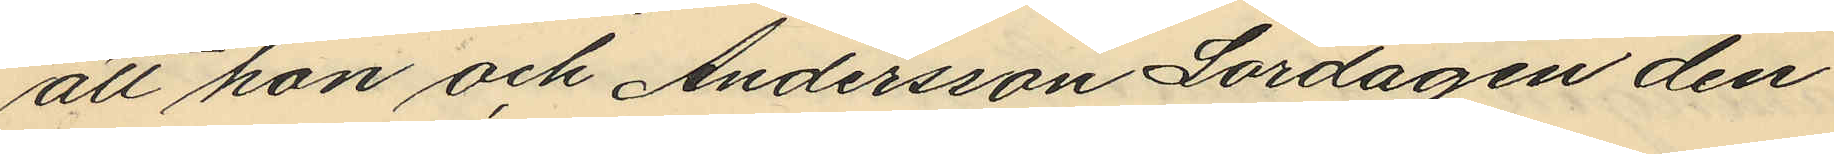att hon och Andersson Lördagen den
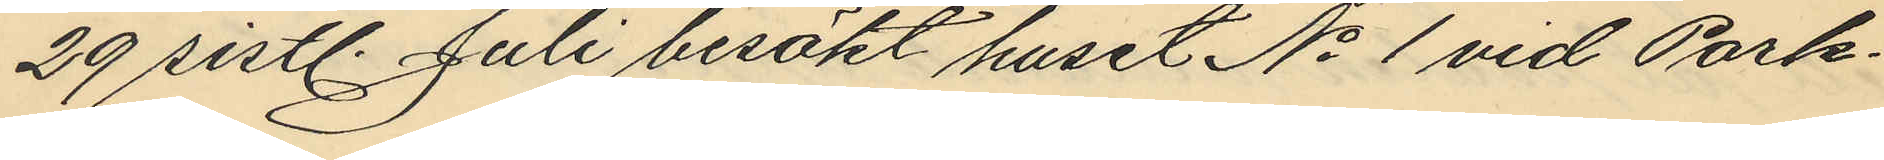29 sistl. Juli besökt huset No 1 vid Park¬
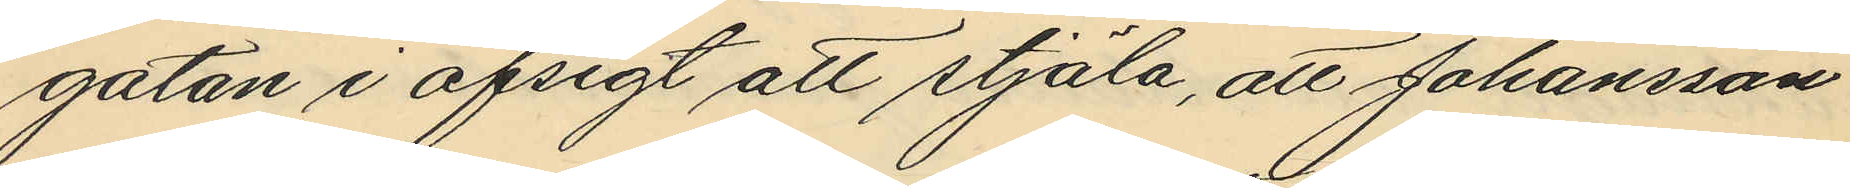gatan i afsigt att stjäla, att Johansson
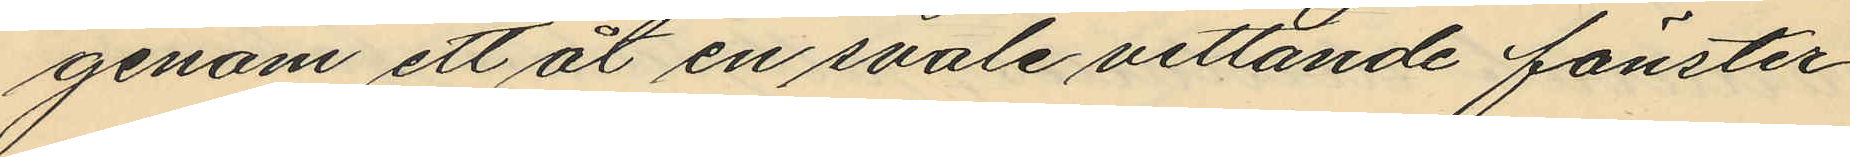genom ett åt en svale vettande fönster
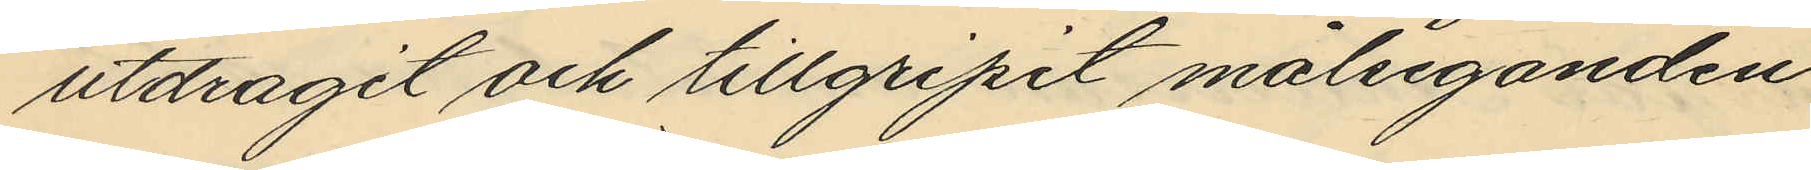utdragit och tillgripit målseganden
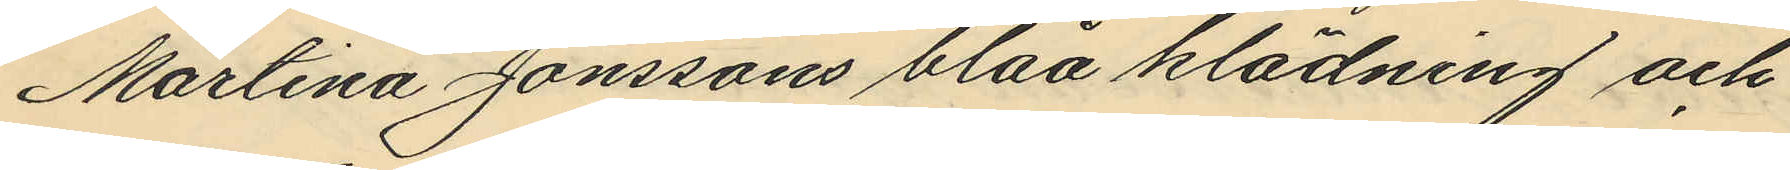Martina Jönssons blåa klädning och
